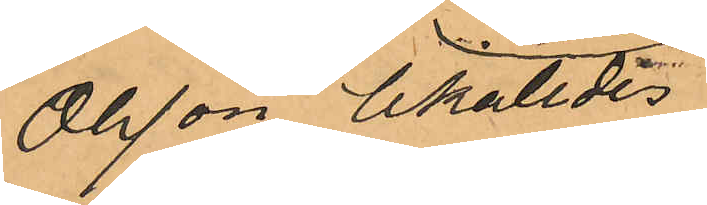Olsson likaledes
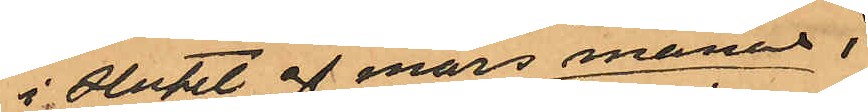i slutet af mars månad i
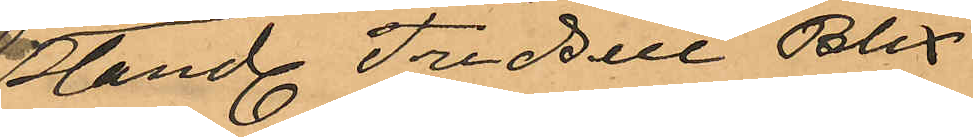Handl. Fredell & Blix
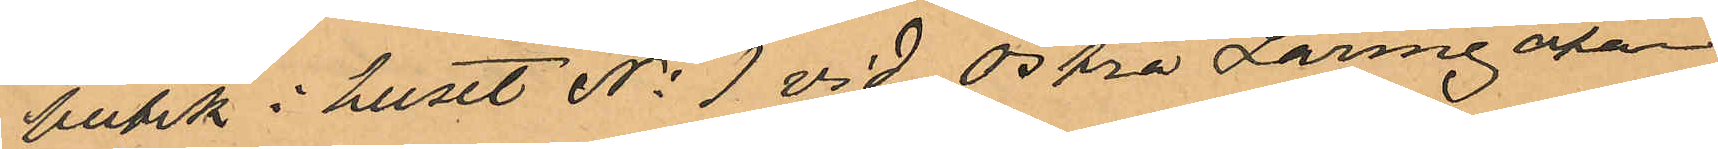butik i huset No 1 vid Östra Larmgatan
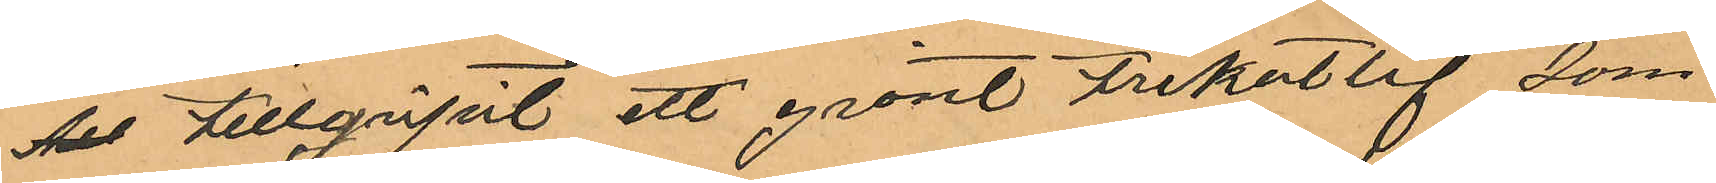Als tillgripit ett grönt trikotlif som
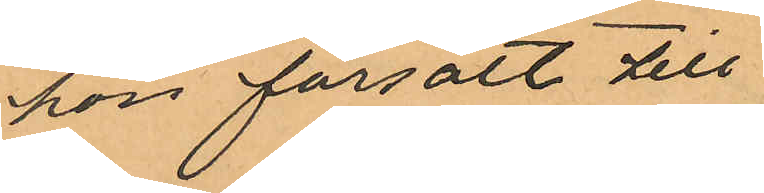hon försålt till
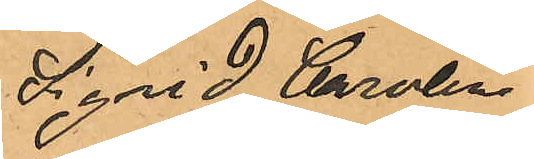Sigrid Carolina
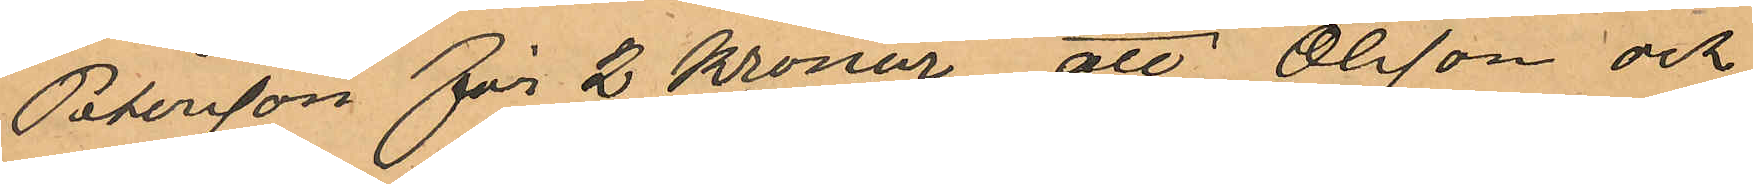Petersson för 2 Kronor, att Olsson och
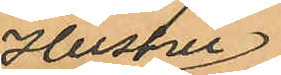Hustru
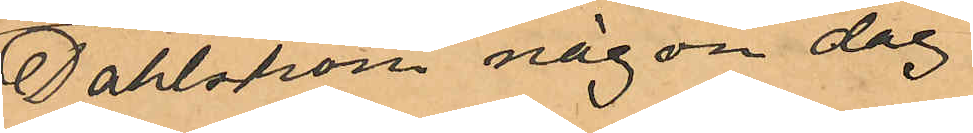Dahlström någon dag
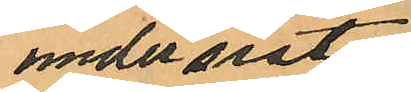under sistl
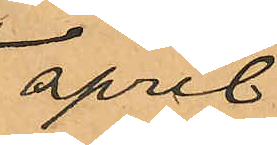april
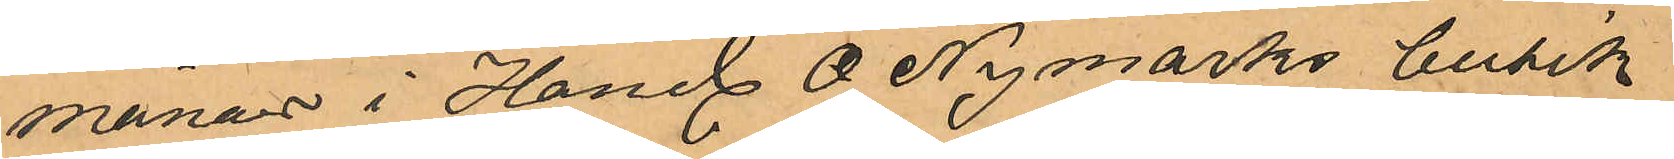månad i Handl A Nymarks butik
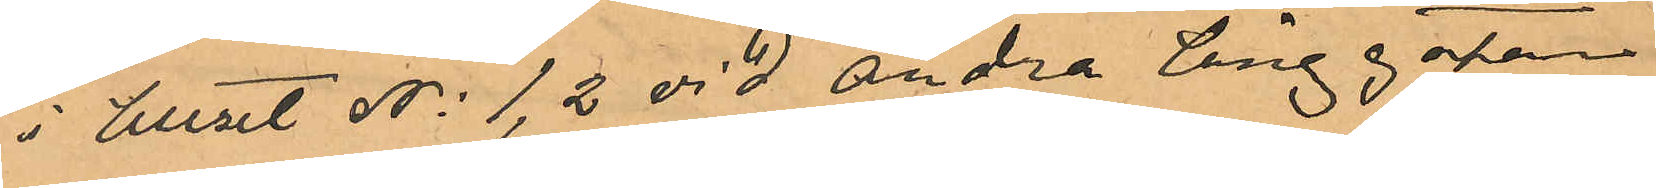i huset No 1, 2 vid Andra Långgatan
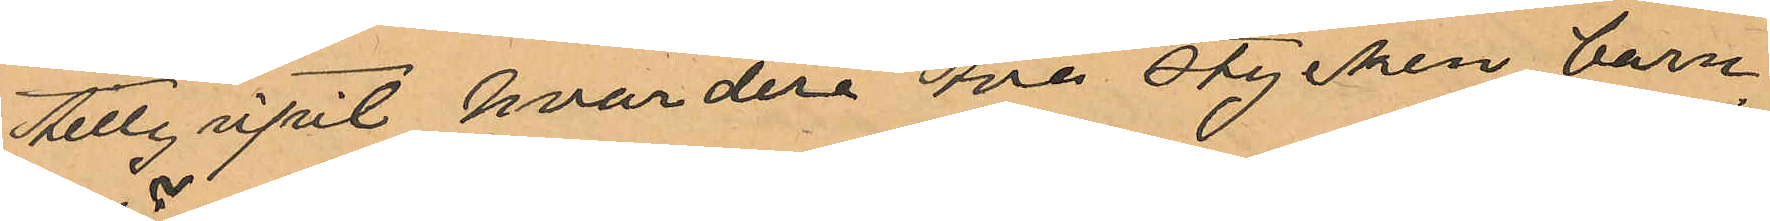tillgripit hvardera två stycken barn¬
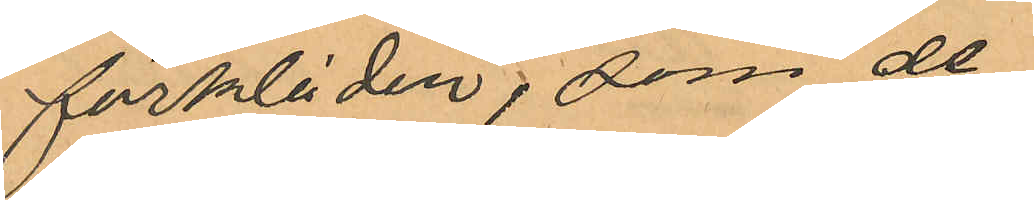förkläden, som de
